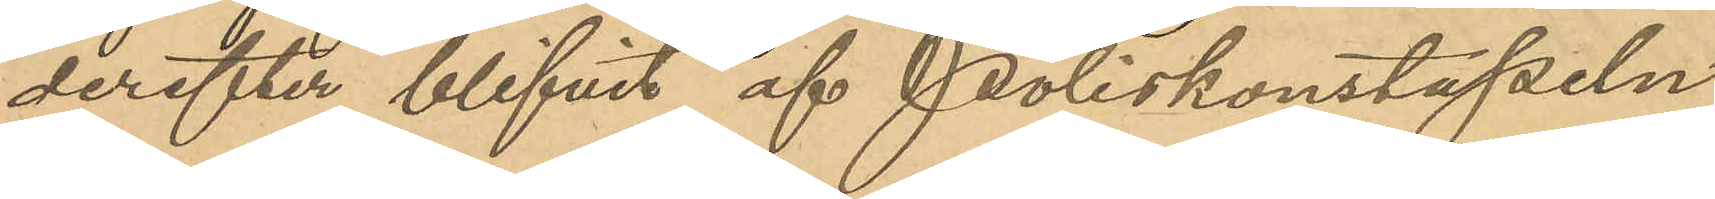derefter blifvit af Poliskonstapeln
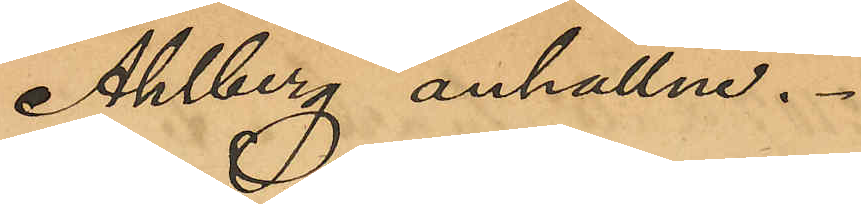Ahlberg anhållen.
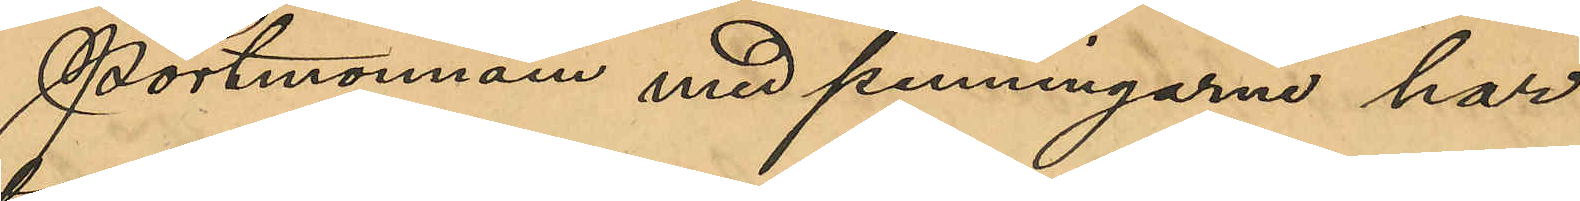Portmonnäen med penningarne har
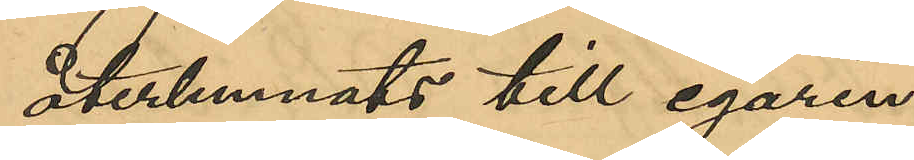återlemnats till egaren.
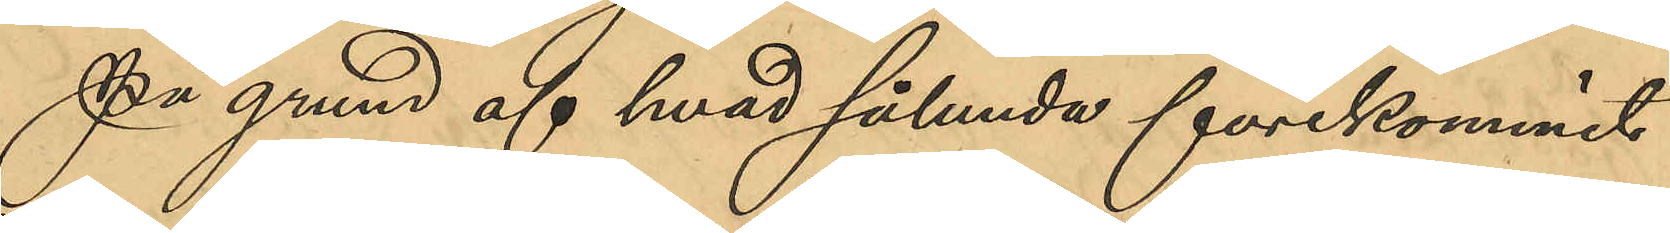På grund af hvad sålunda förekommit
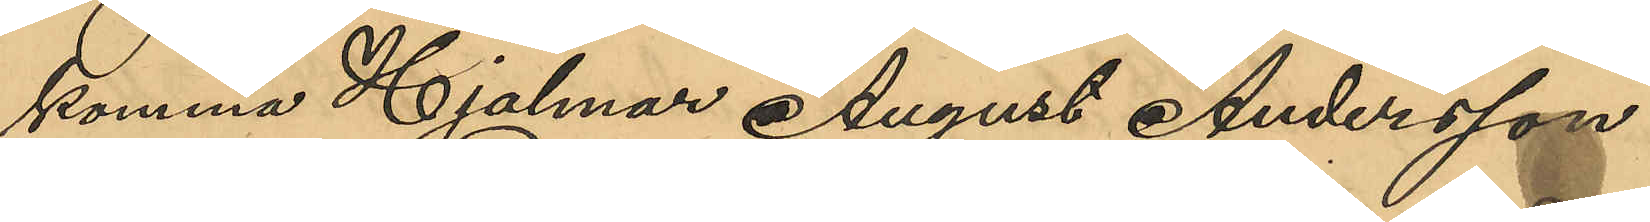komma Hjalmar August Andersson
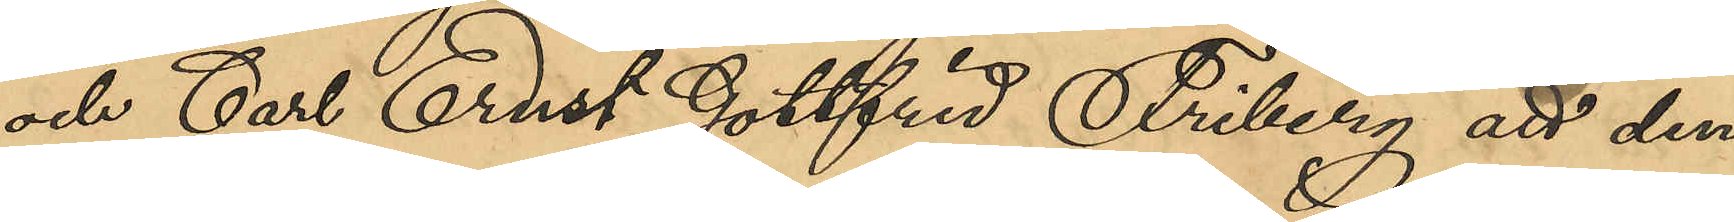och Carl Ernst Gottfrid Friberg att den¬
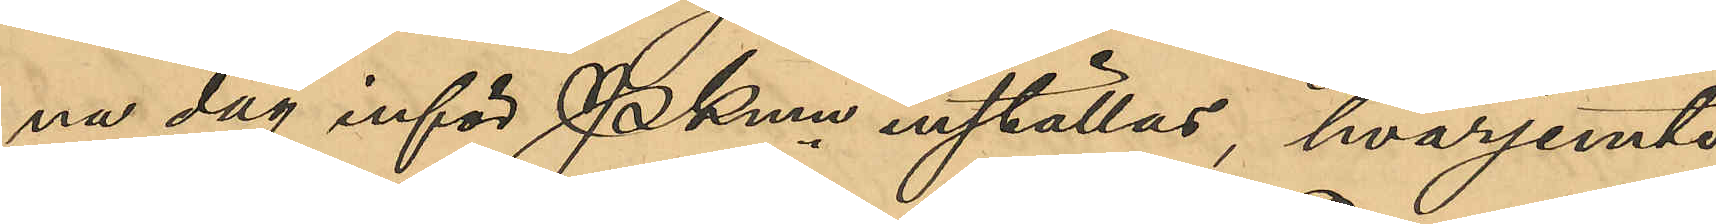na dag inför Pkmn inställas, hvarjemte
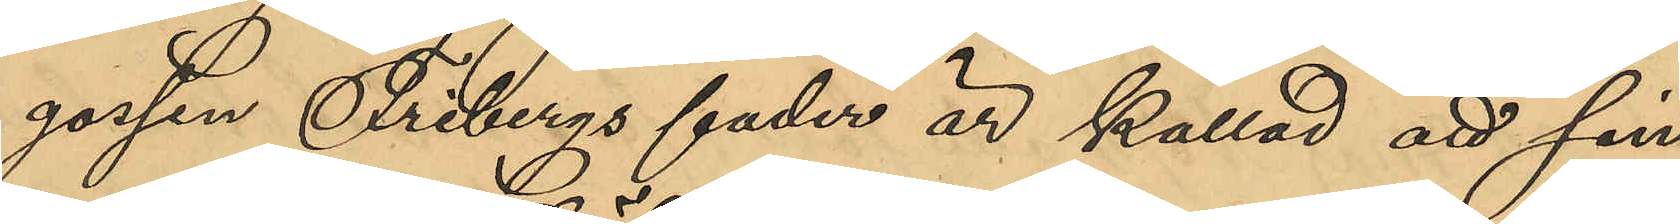gossen Fribergs fader är kallad att sin
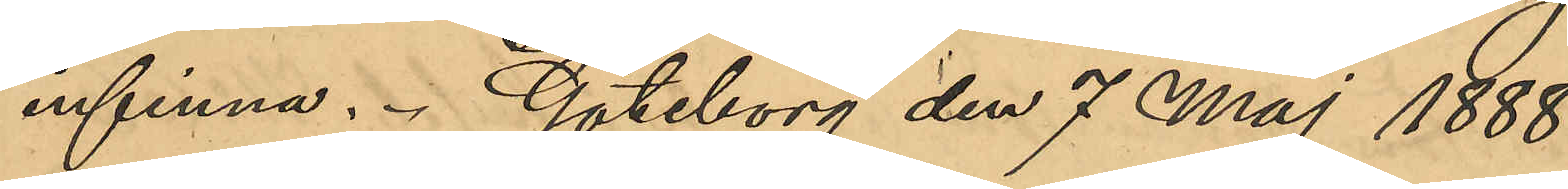infinna. Göteborg den 7 Maj 1888.
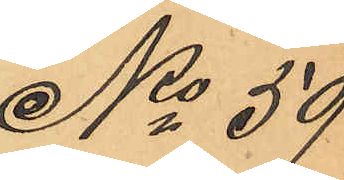No 59
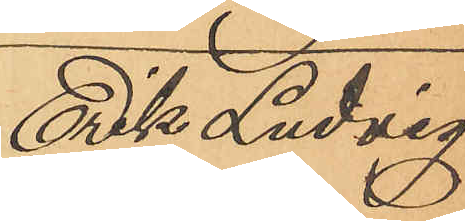Erik Ludvig
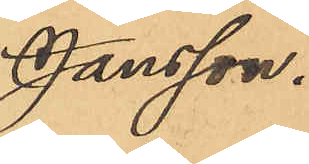Jansson.
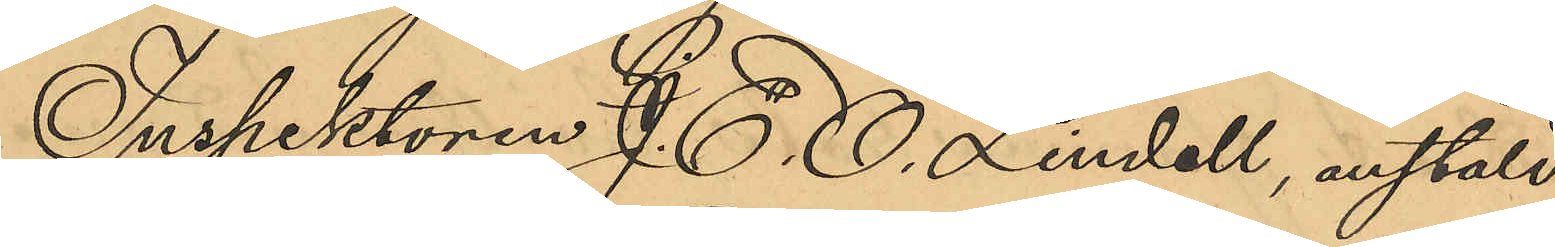Inspektoren J. E. O. Lindell, anstäld
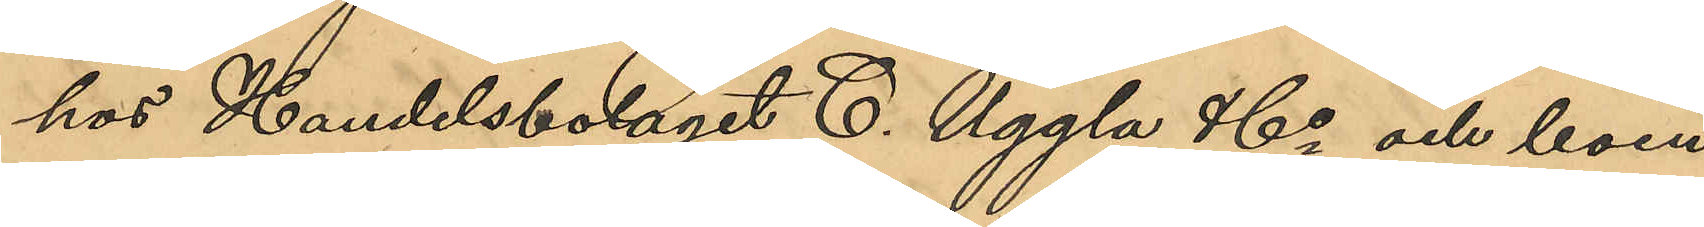hos Handelsbolaget C. Uggla & Co och boen¬
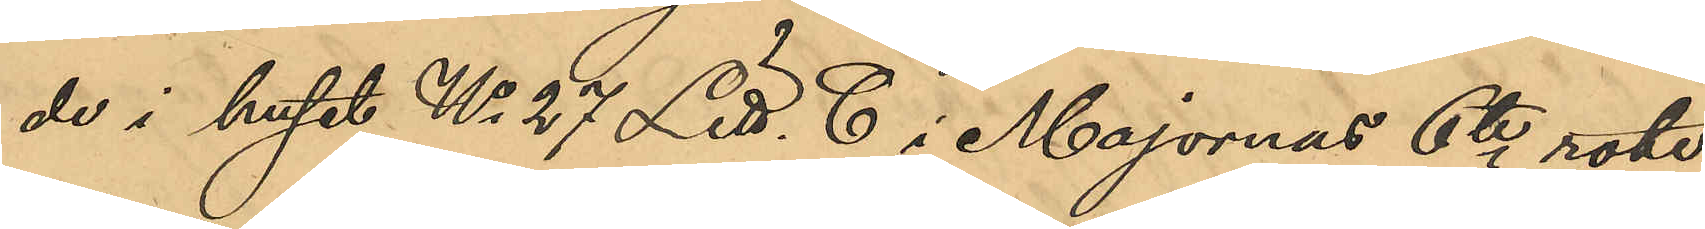de i huset No 27 Litt. C i Majornas 6te rote,
